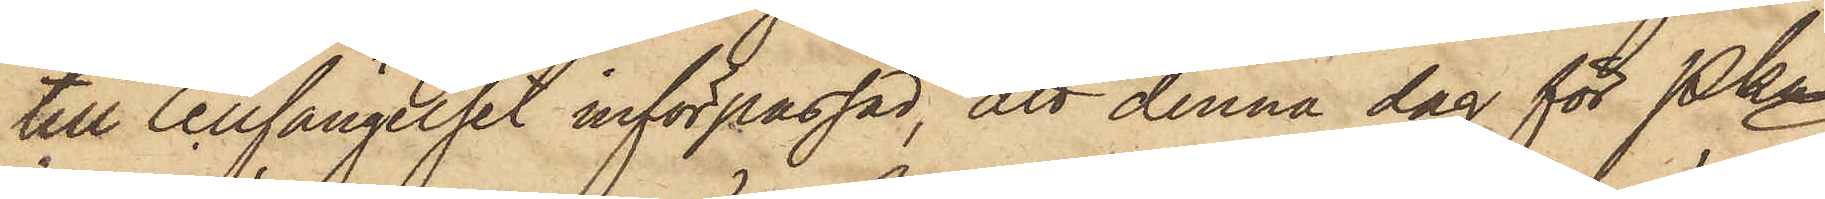till Cellfängelset införpassad, att denna dag för Pkn
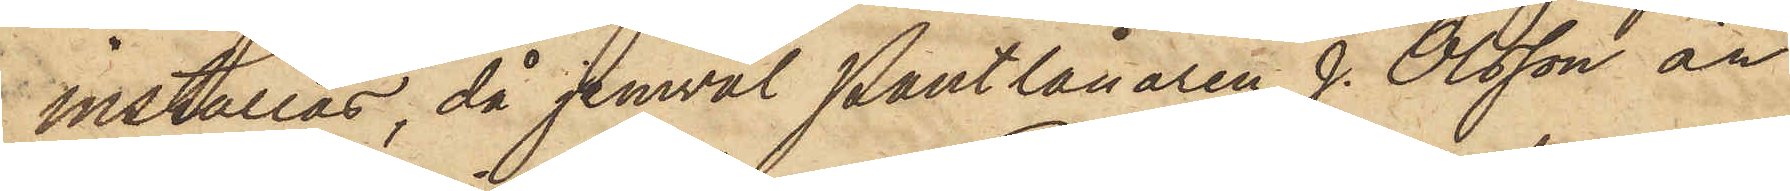inställas, då jemväl Pantlånaren J. Olsson är
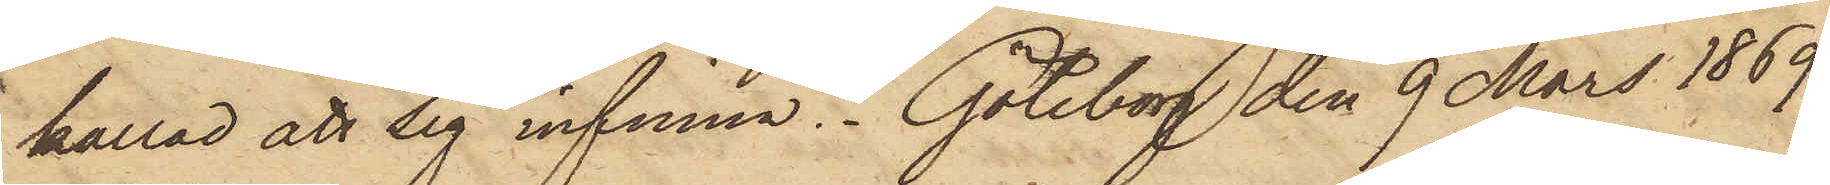kallad att sig infinna. Göteborg den 9 Mars 1869.
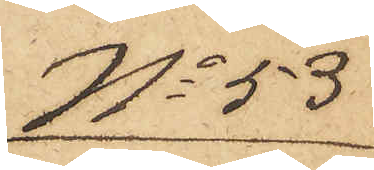No 53
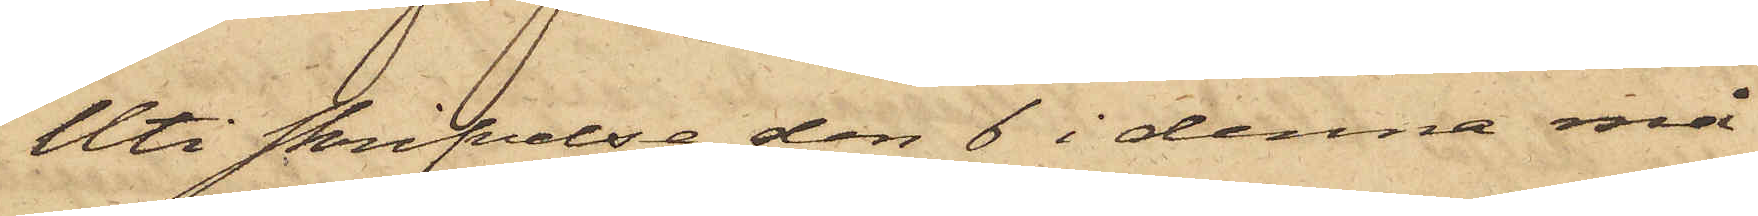Uti skrifvelse den 6 i denna må¬
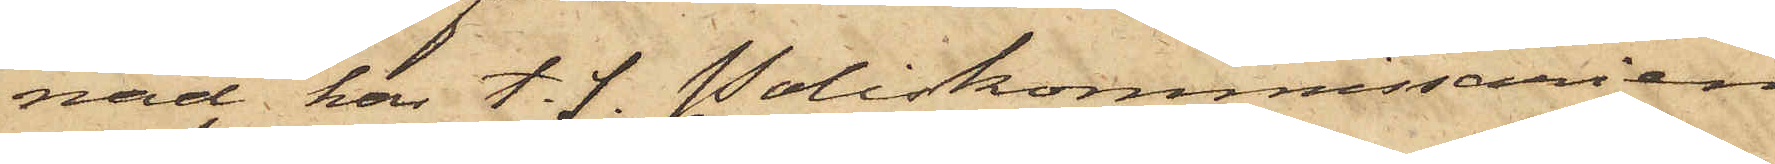nad har t. f. Poliskommissarien
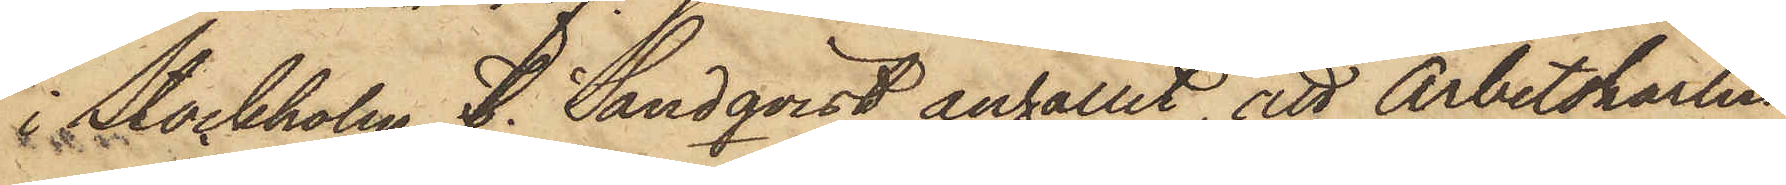i Stockholm F. Sundqvist anhållit, att Arbetskarlen
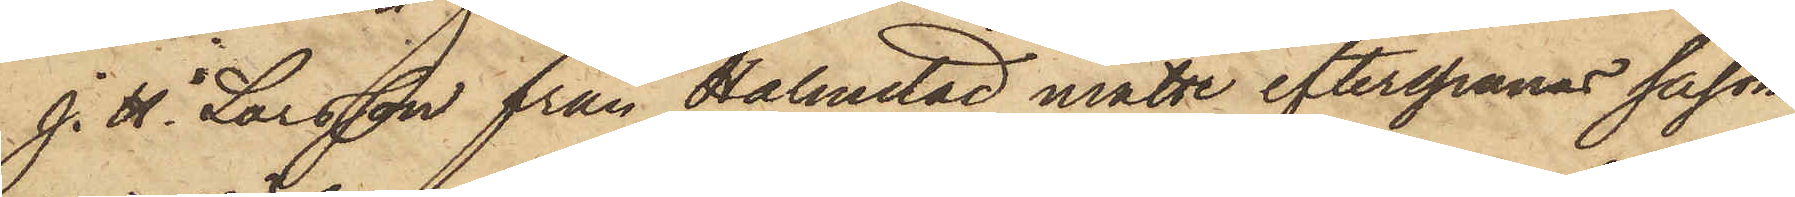J. H. Larsson från Halmstad måtte efterspanas såsom
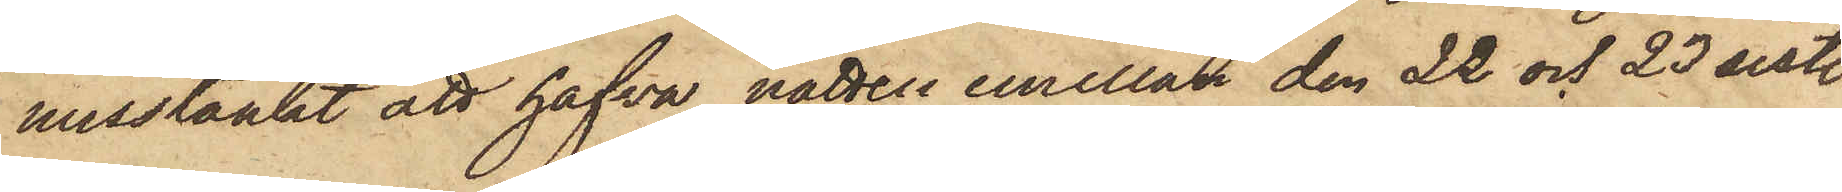misstänkt att hafva natten emellan den 22 och 23 sistl.
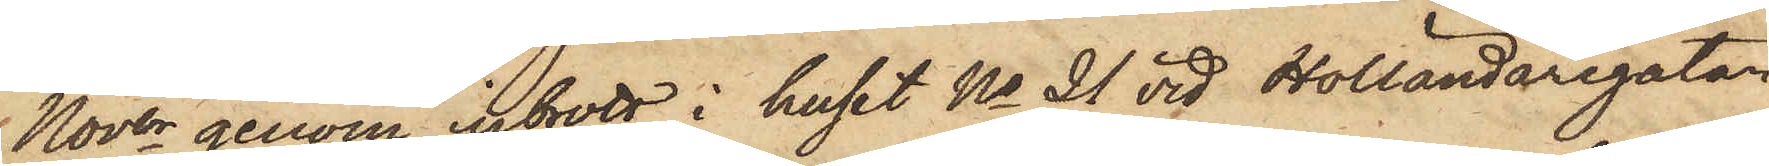Nover genom inbrott i huset No 21 vid Holländaregatan
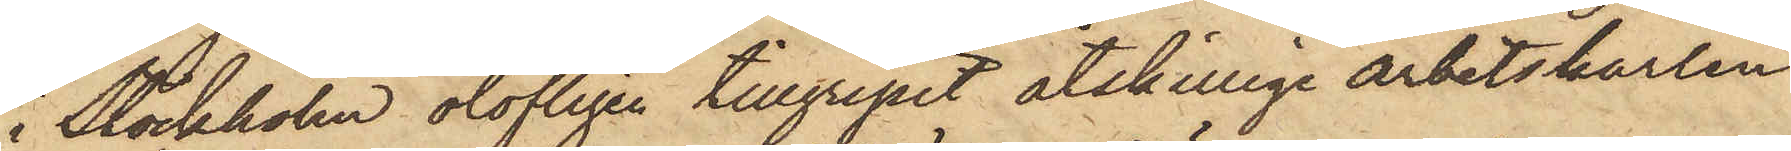i Stockholm olofligen tillgripit åtskillige arbetskarlen
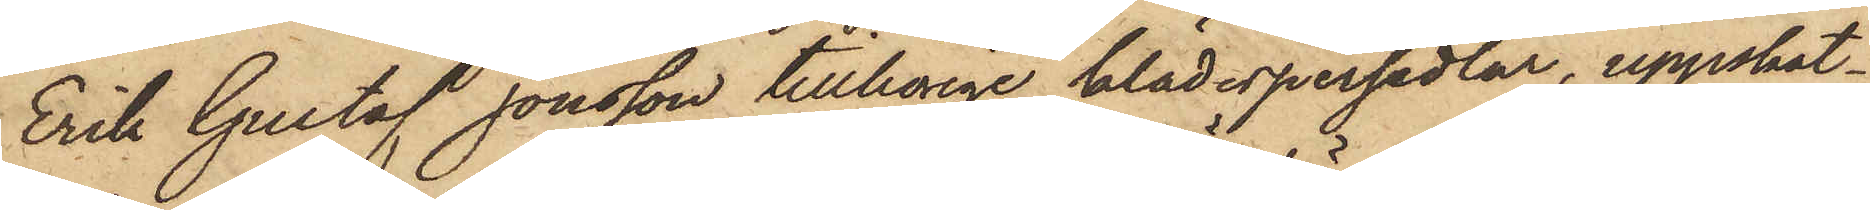Erik Gustaf Jonsson tillhörige klädespersedlar, uppskat¬
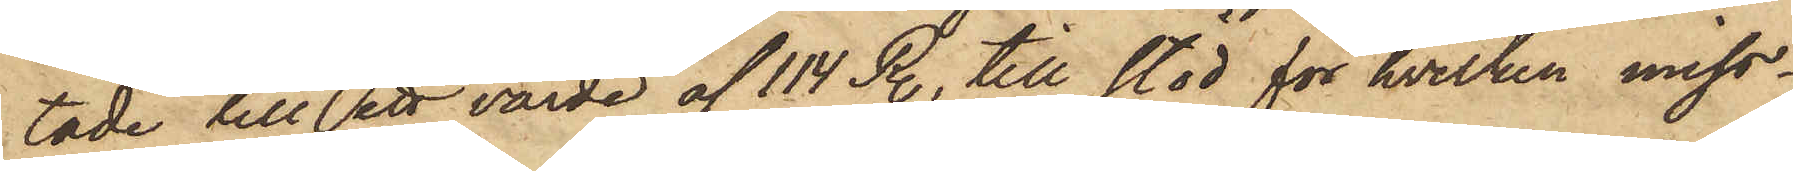tade till ett värde af 114 R., till stöd för hvilken miss¬
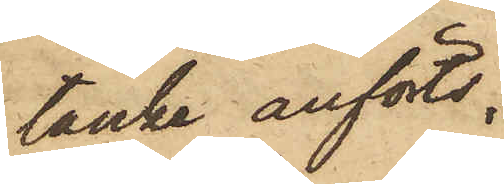tänke anförts;
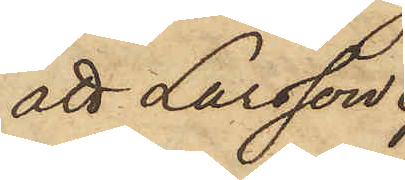att Larsson
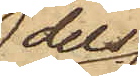dels
